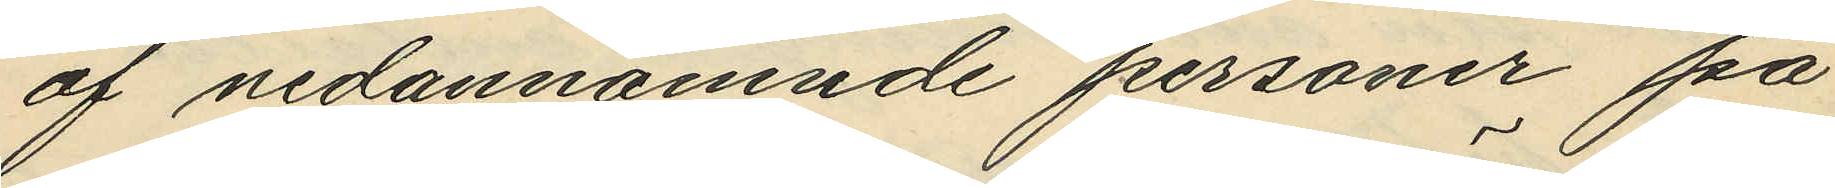af nedannämnde personer på
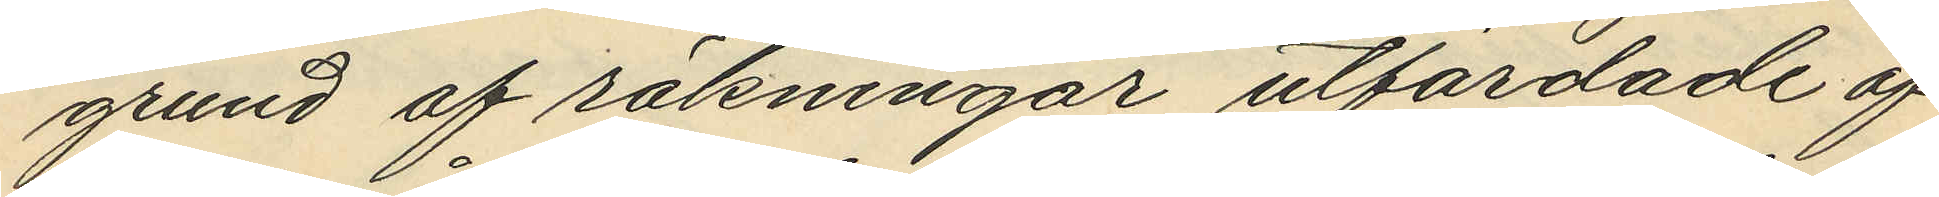grund af räkningar utfärdade af
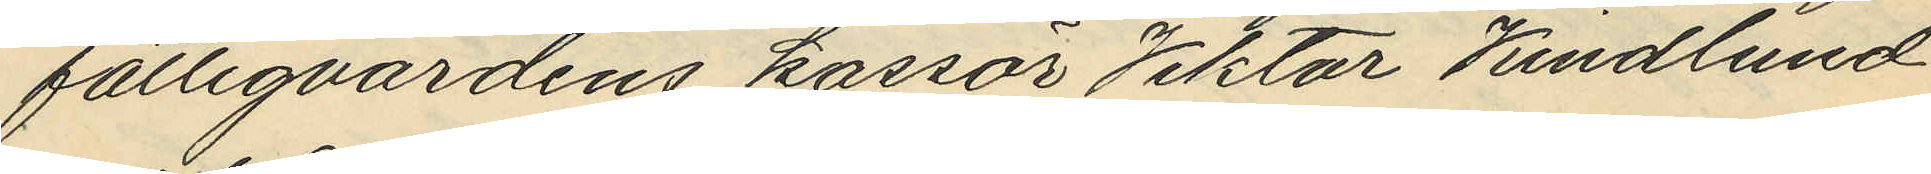fattigvårdens kassör Viktor Kindlund
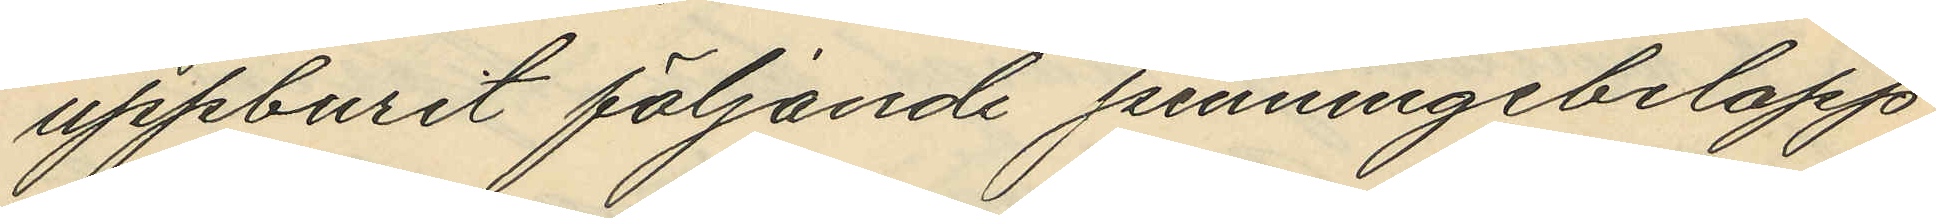uppburit följande penningebelopp
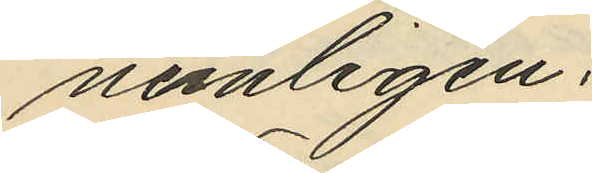nemligen:
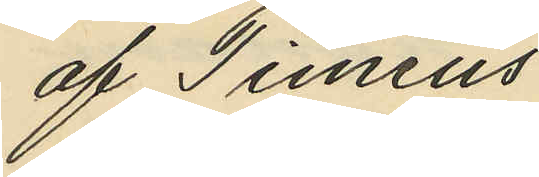af Timeus
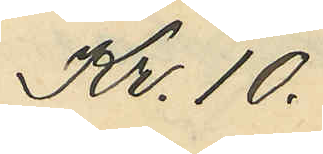Kr. 10.
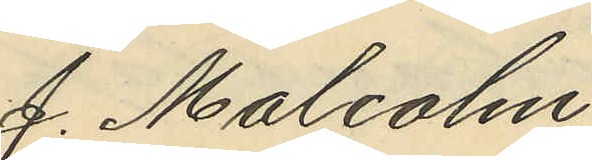J. Malcolm
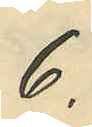6.
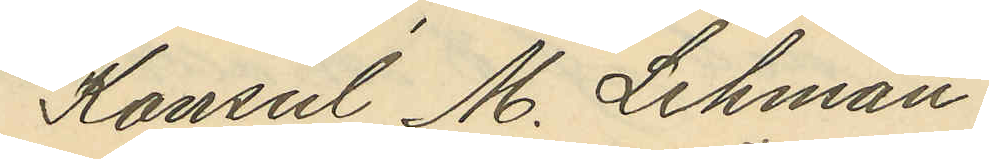Konsul M. Lehman
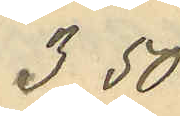3.50
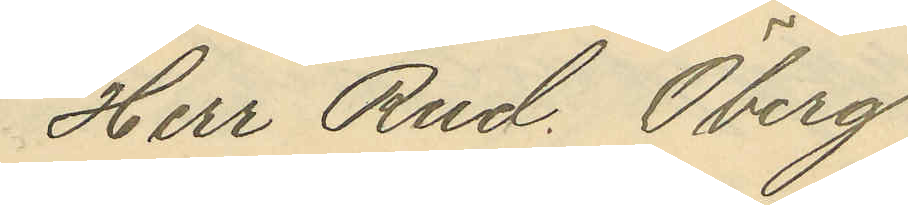Herr Rud. Öberg
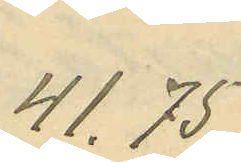41.75
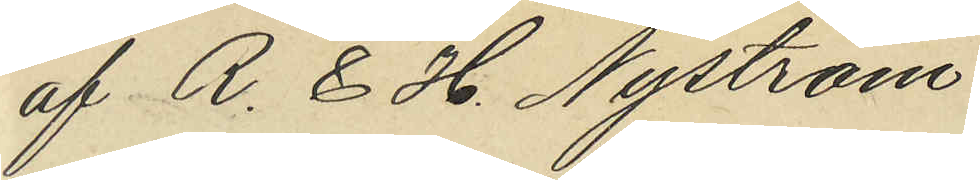af R. & H. Nyström
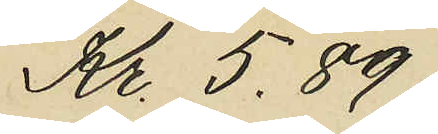Kr. 5.89
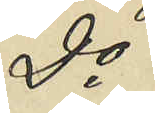Do
